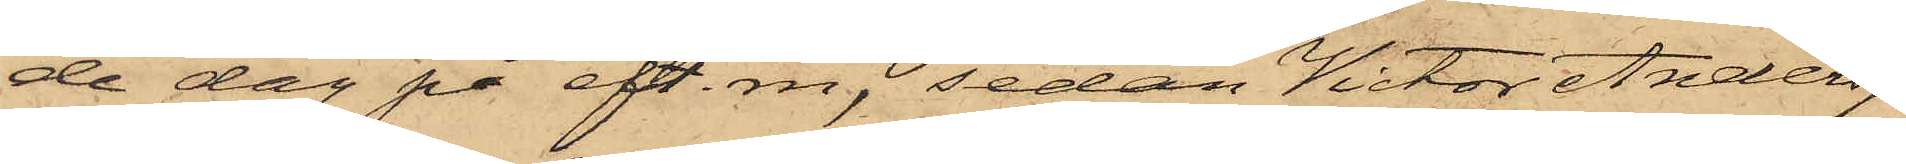de dag på eft. m, sedan Victor Andersson
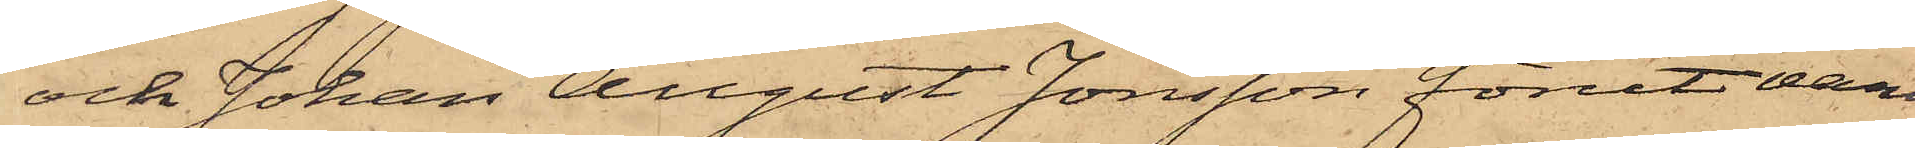och Johan August Jonsson förut var
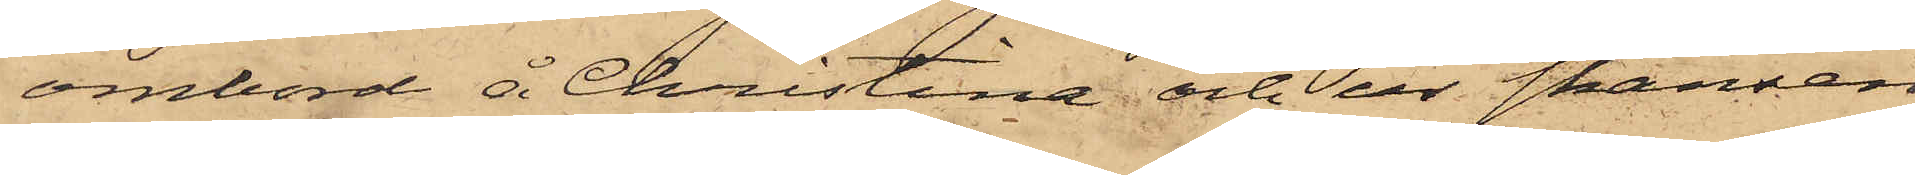ombord å Christina och ur skansen
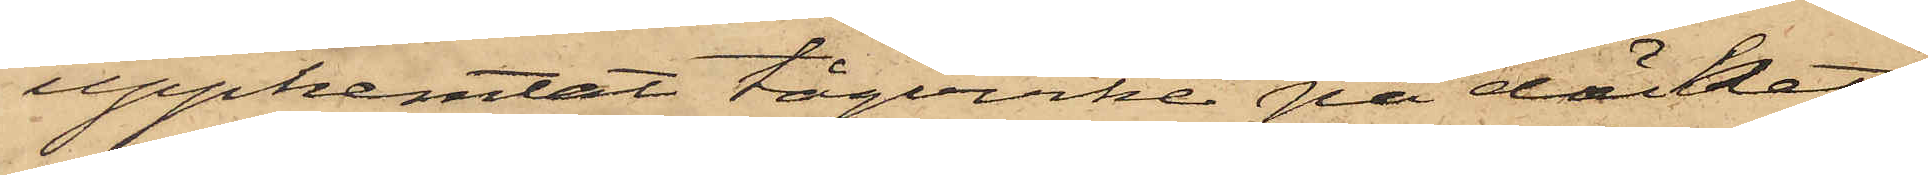upphemtat tågvirke på däcket,
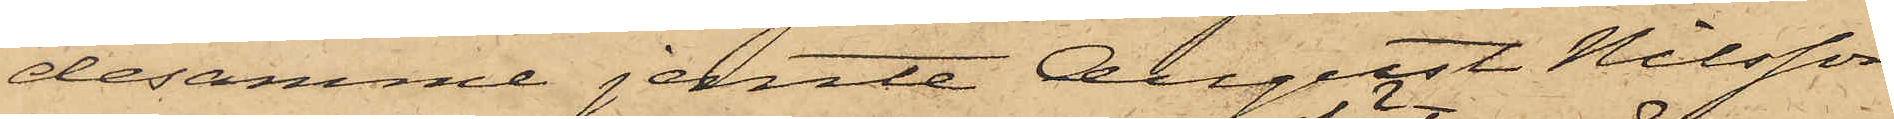desamme jemte August Nilsson,
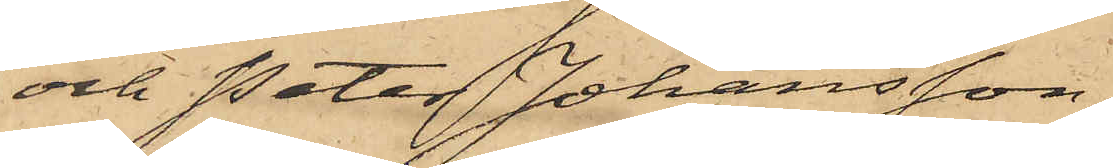och Peter Johansson,
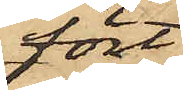fört
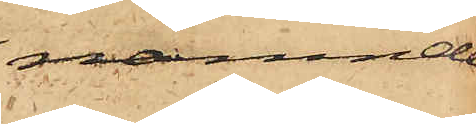nämnde
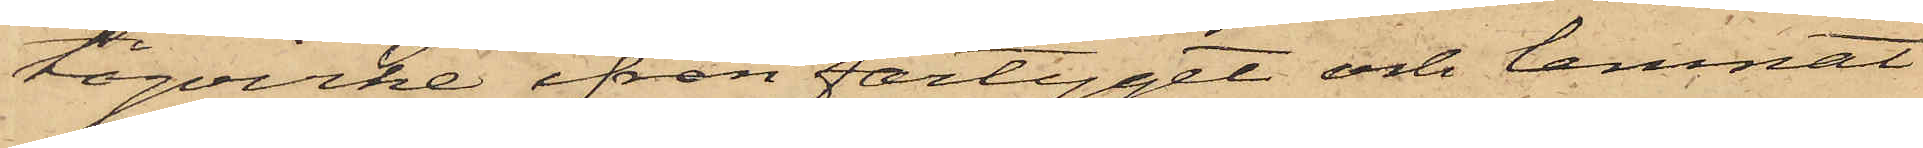tågvirke ifrån fartyget och lemnat
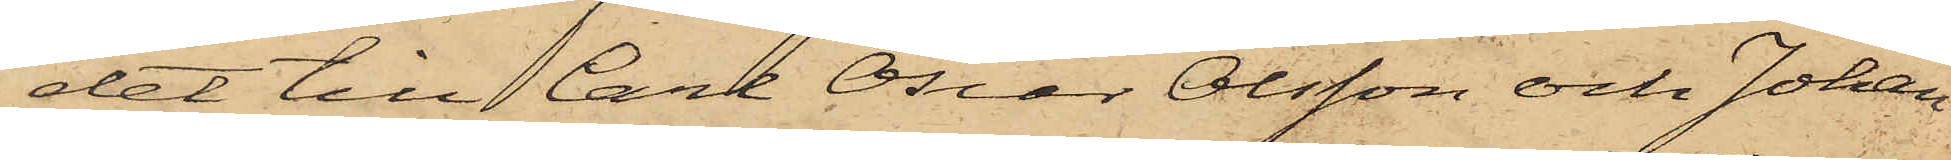det till Carl Oscar Olsson och Johan
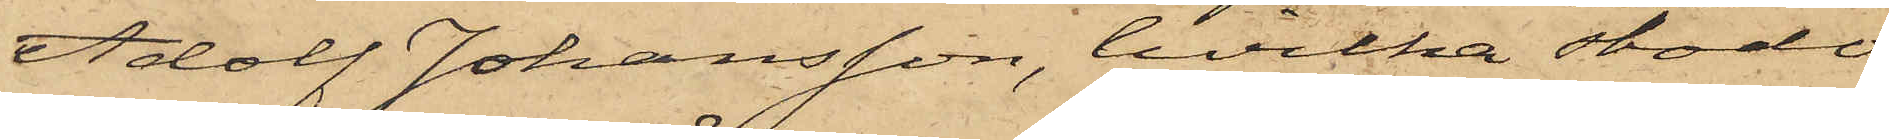Adolf Johansson, hvilka stodo
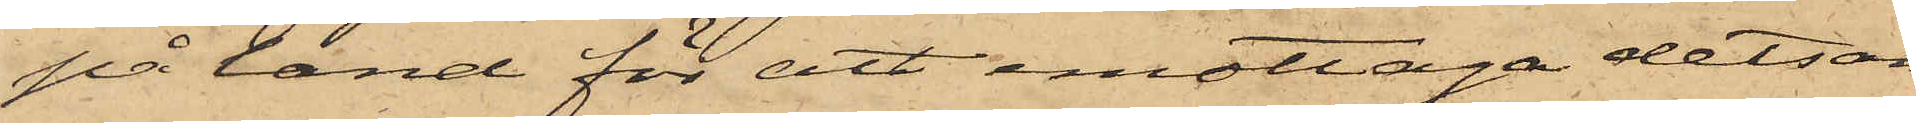på land för att emottaga detsam¬
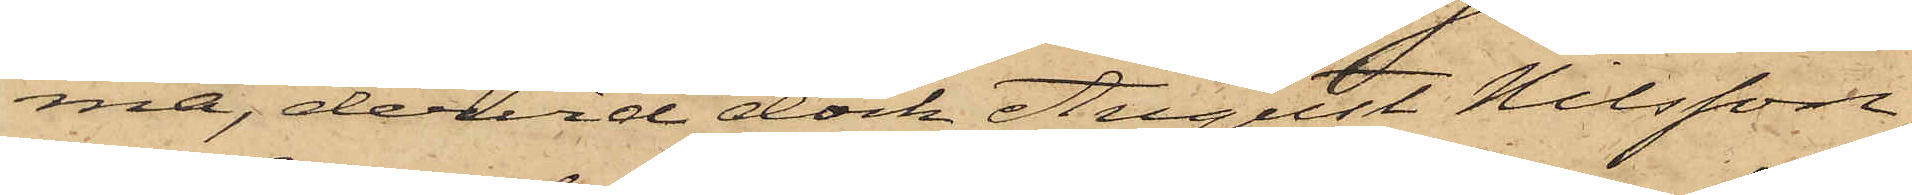ma, dervid dock August Nilsson,
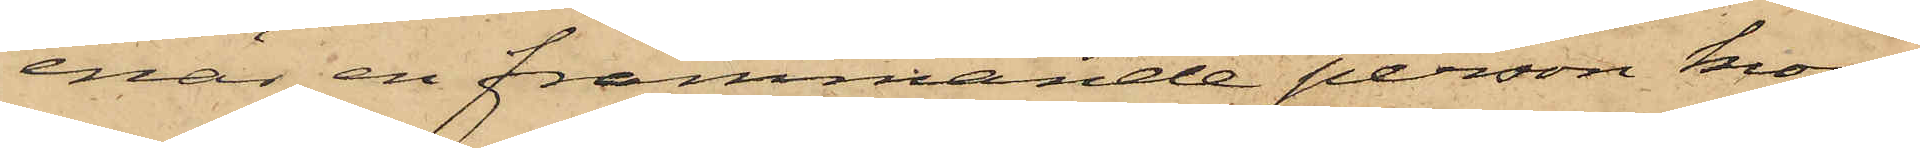enär en främmande person kom¬
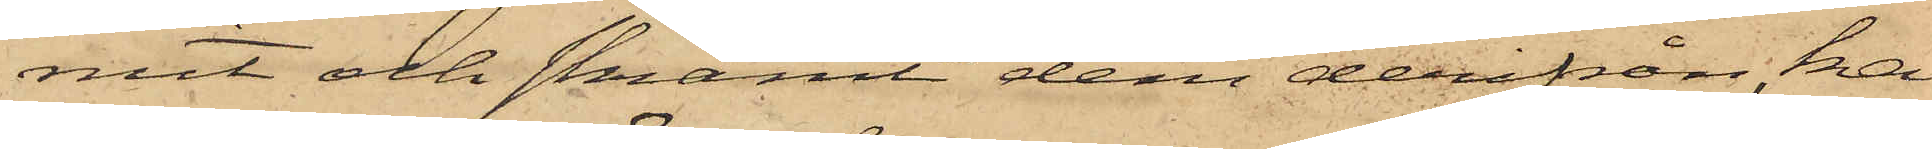mit och skrämt dem derifrån, ka¬
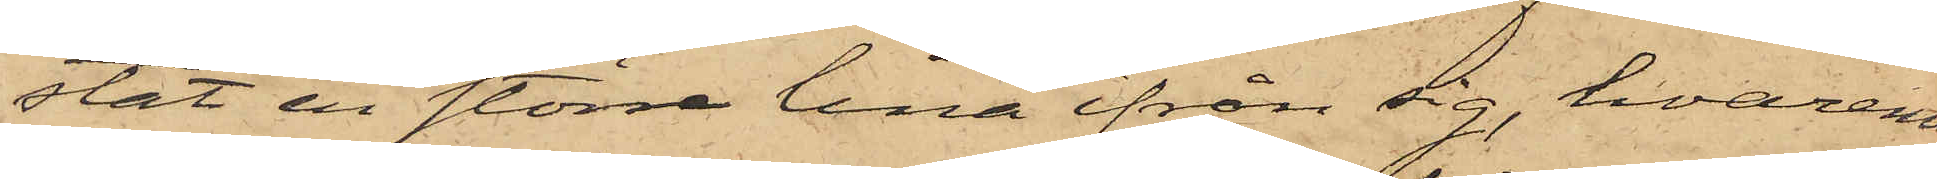stat en större lina ifrån sig, hvaremot
